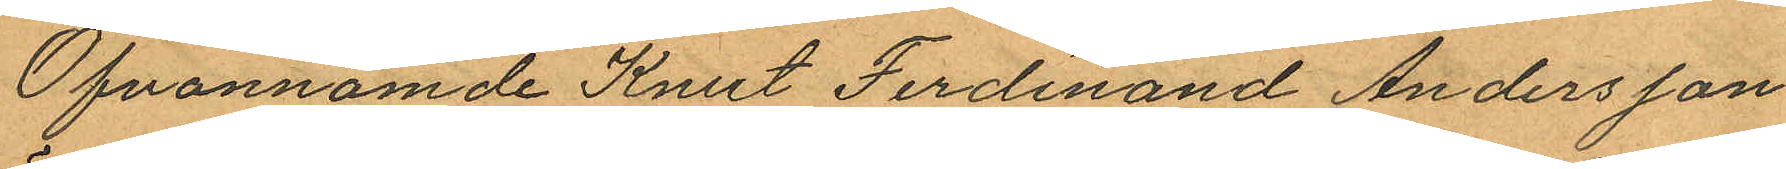Ofvannämde Knut Ferdinand Andersson
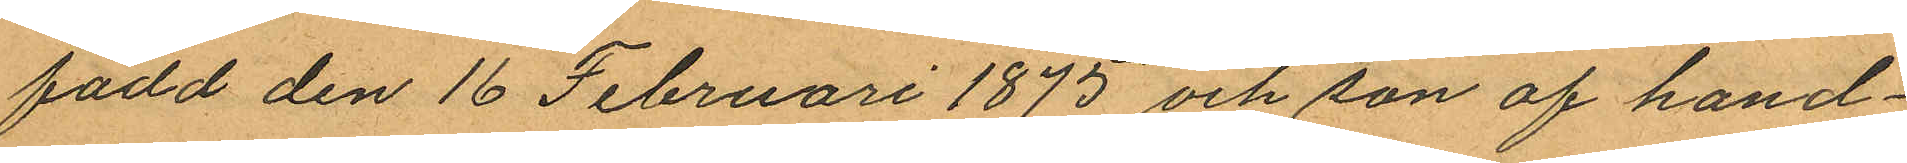född den 16 Februari 1875 och son af hand¬
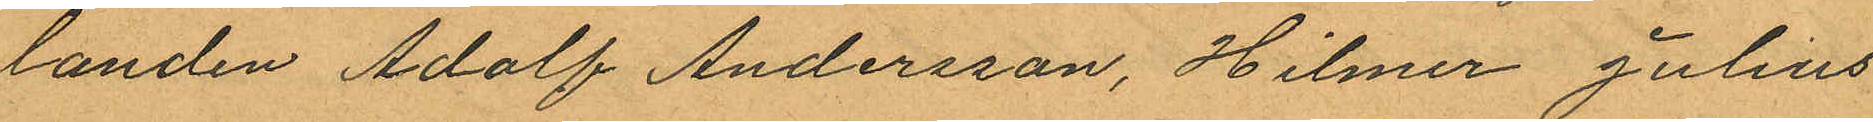landen Adolf Andersson, Hilmer Julius
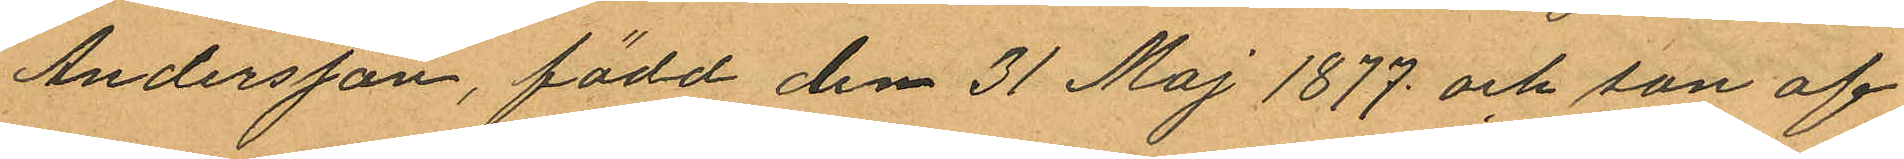Andersson, född den 31 Maj 1877 och son af
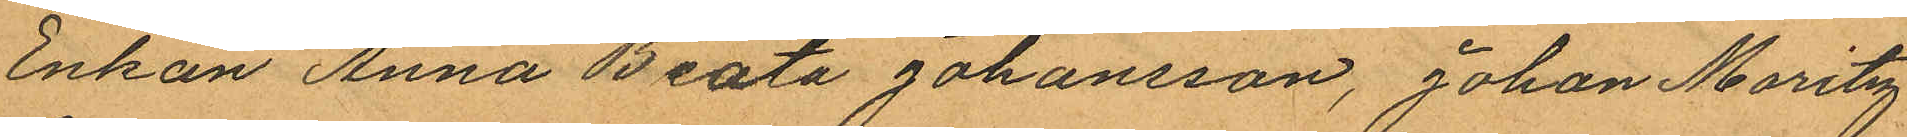Enkan Anna Beata Johansson, Johan Moritz
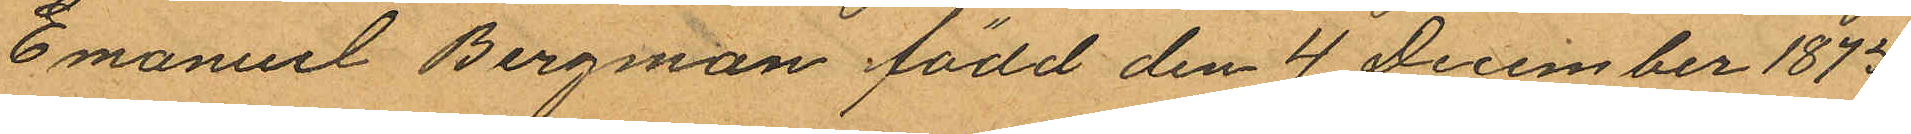Emanuel Bergman född den 4 December 1875
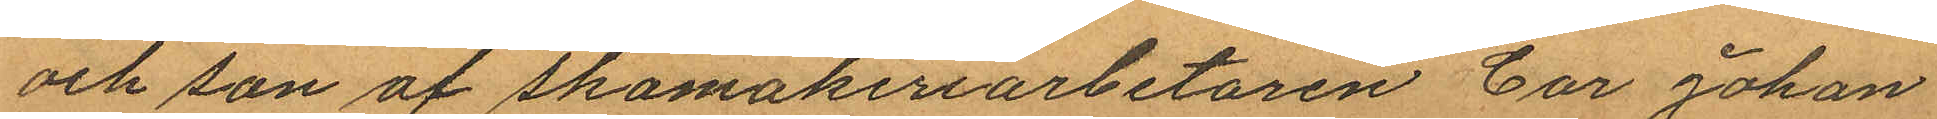och son af skomakeriarbetaren Car Johan
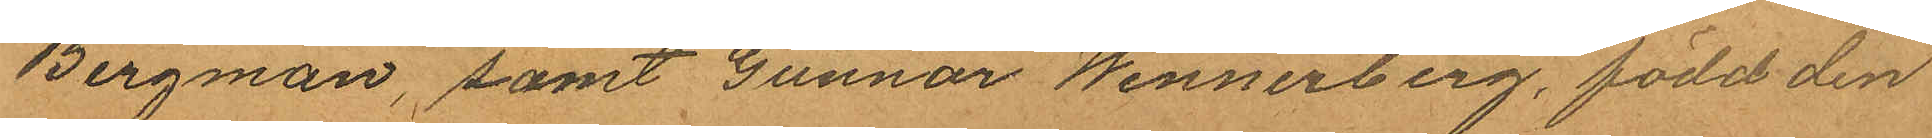Bergman, samt Gunnar Wennerberg, född den
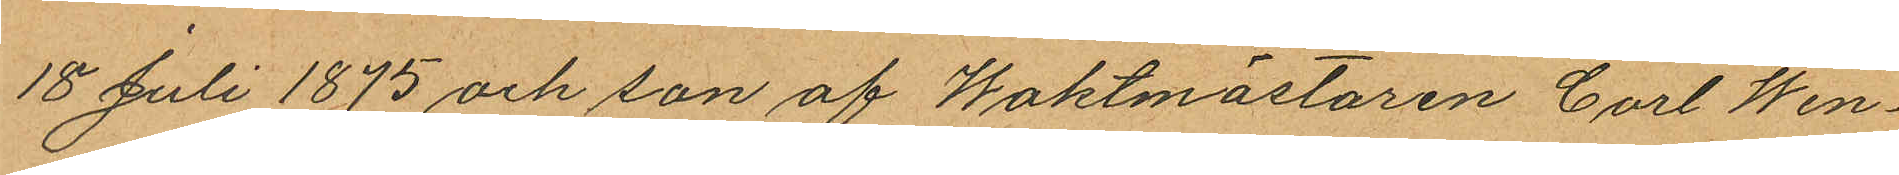18e Juli 1875 och son af Waktmästaren Carl Wen¬
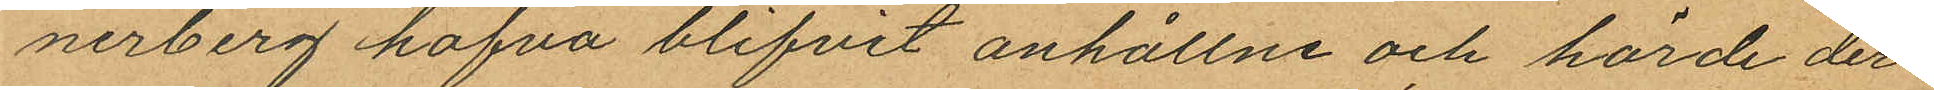nerberg hafva blifvit anhållne och hörde der¬
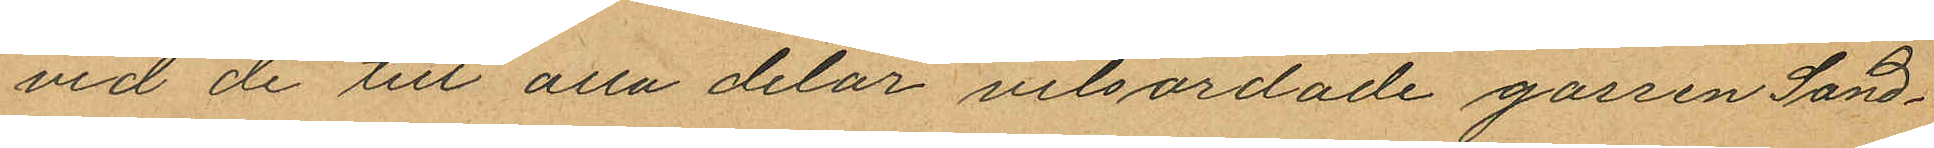vid de till alla delar vitsordade gossen Sand¬
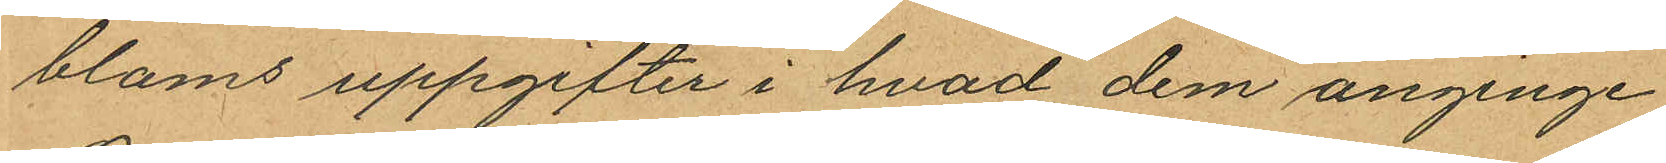bloms uppgifter i hvad dem anginge.
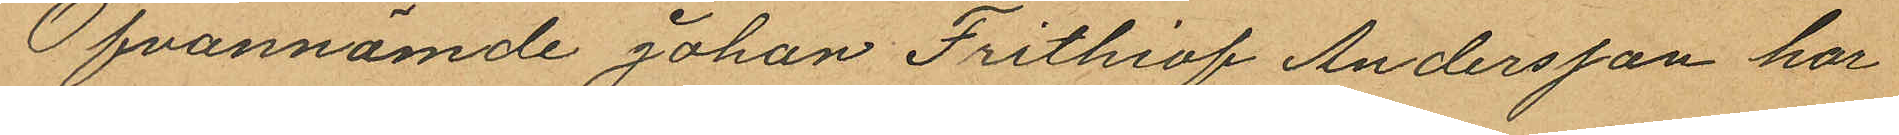Ofvannämde Johan Frithiof Andersson har
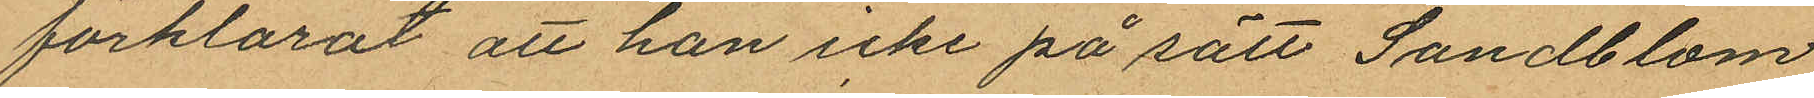förklarat att han icke på sätt Sandblom
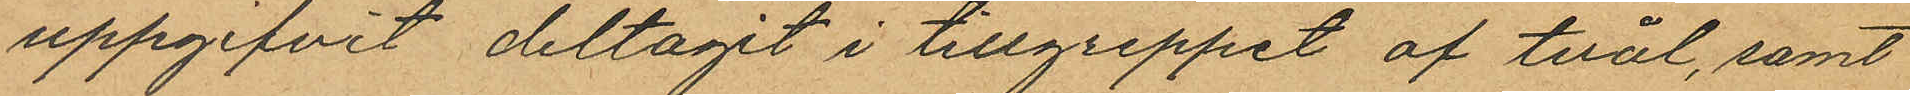uppgifvit deltagit i tillgreppet af tvål, samt
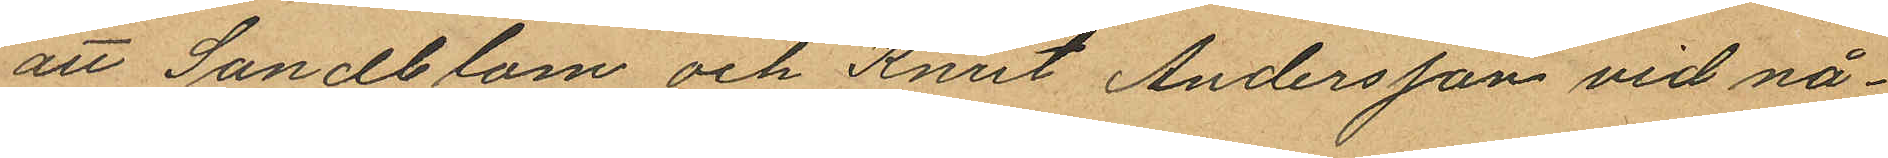att Sandblom och Knut Andersson vid nå¬
